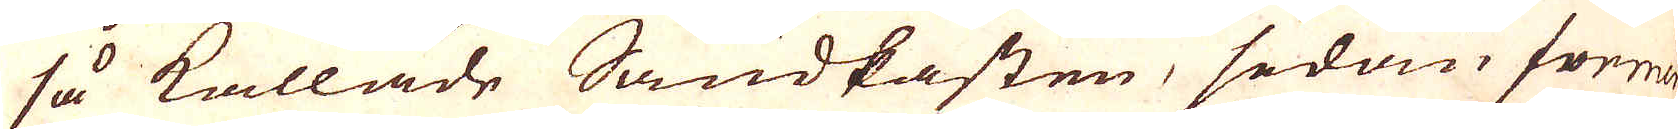så kallade Sandkasten, sedan i former
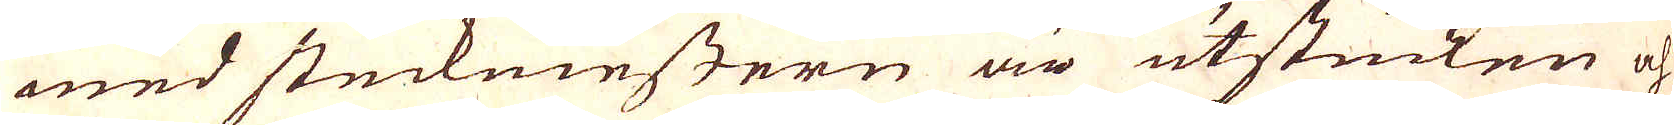med steckemestern är utstucken och
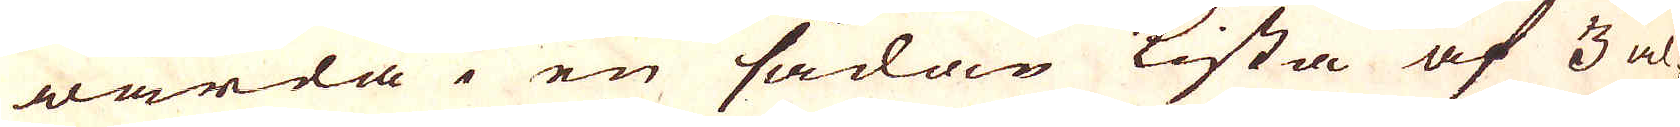warda en sådan kista af 3 al-
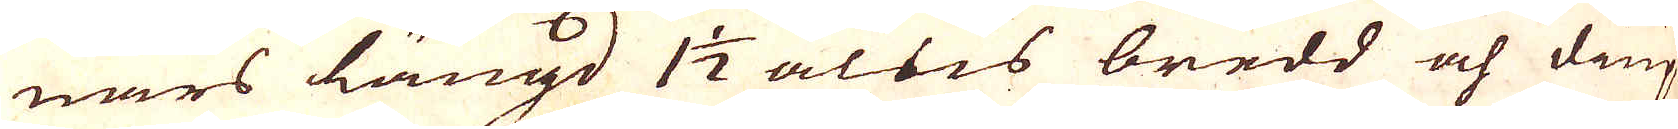nars längd 1 1/2 alns bredd och diup-
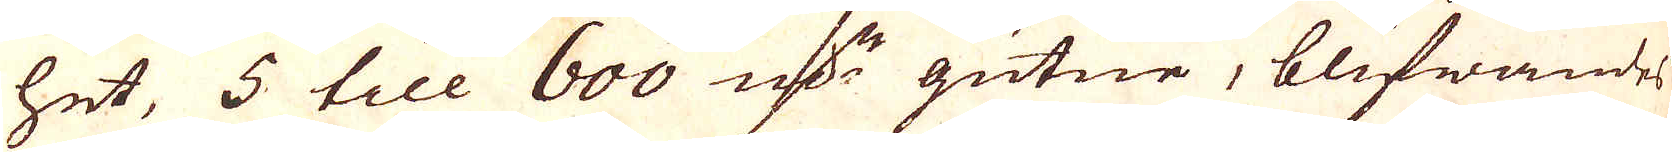het, 5 till 600 qv:r gutne, blifwandes
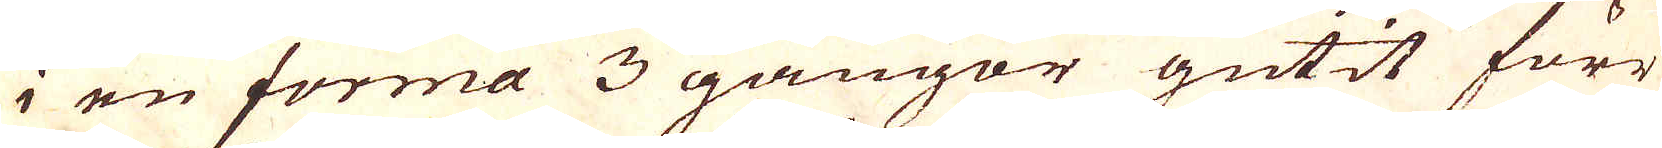i en forma 3 gångor gutit förr
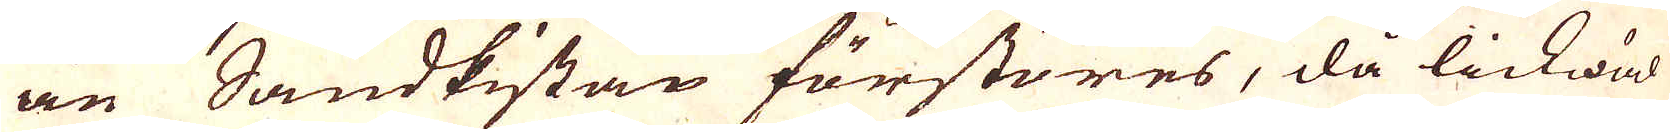än Sandkistan förstores, då lickwäl
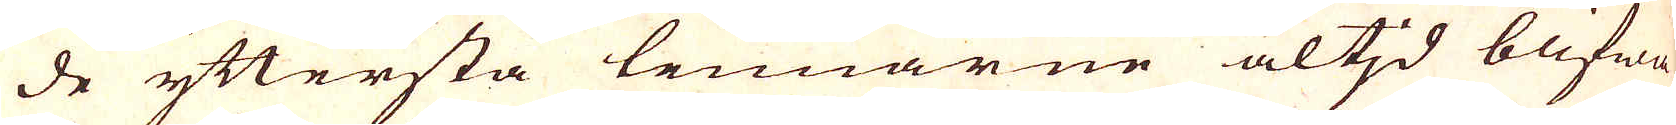de yttersta tennarne altid blifwa
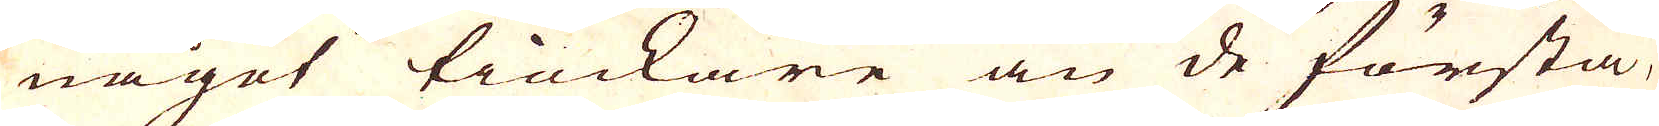något tieckare än de första,
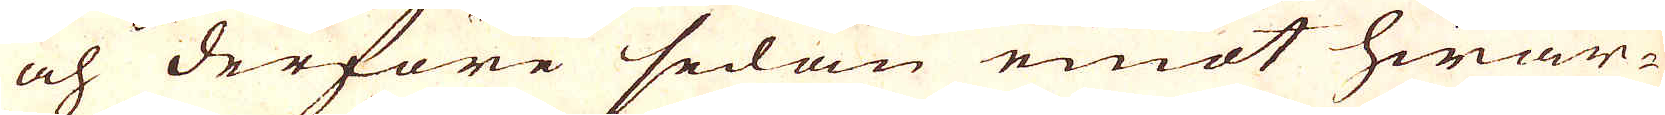och derföre sedan emot hwar-
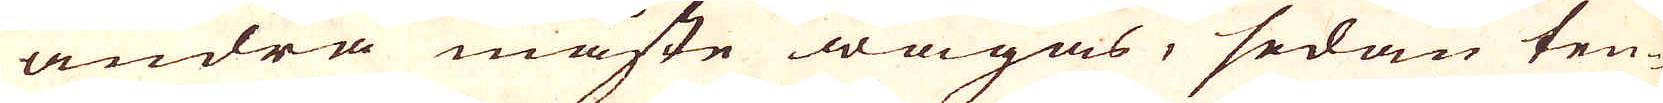andra måste wägas, sedan ten-
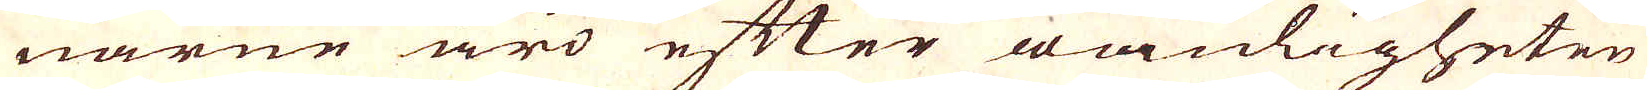narne äro efter wanligheten
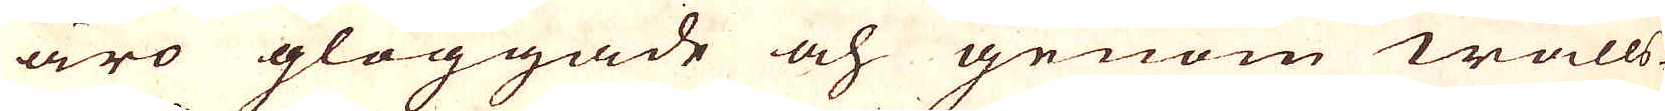äro glöggade och genom walls-
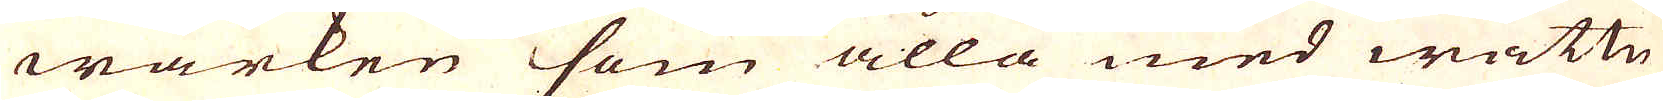wärken som alla med wattn
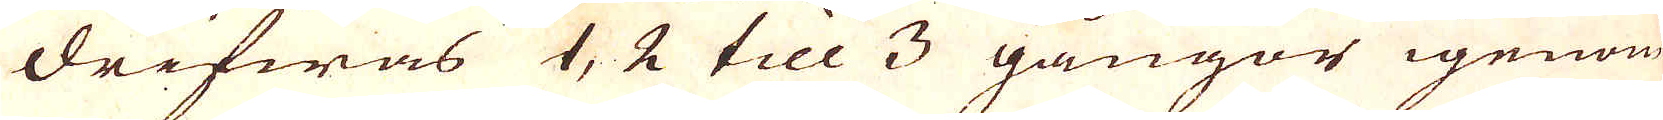drifwas 1, 2 till 3 gångor igenom
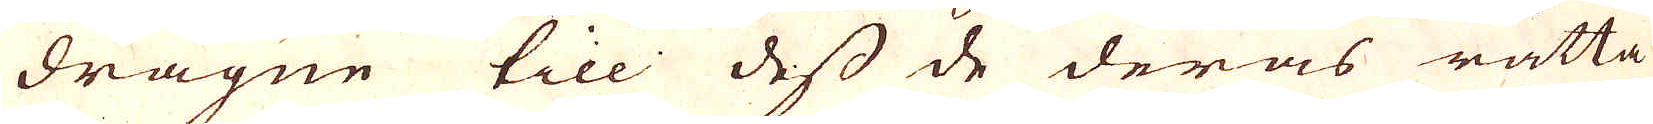dragne till dess de deras rätta
